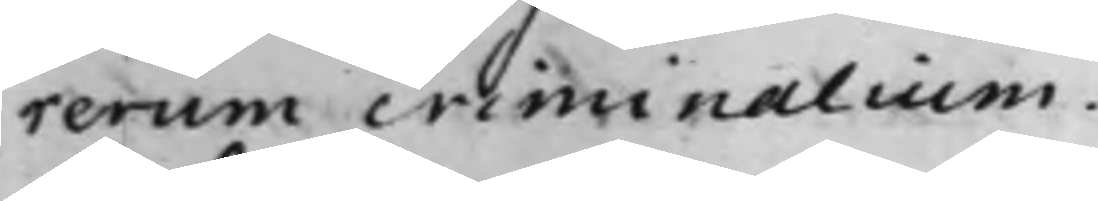rerum criminalium.
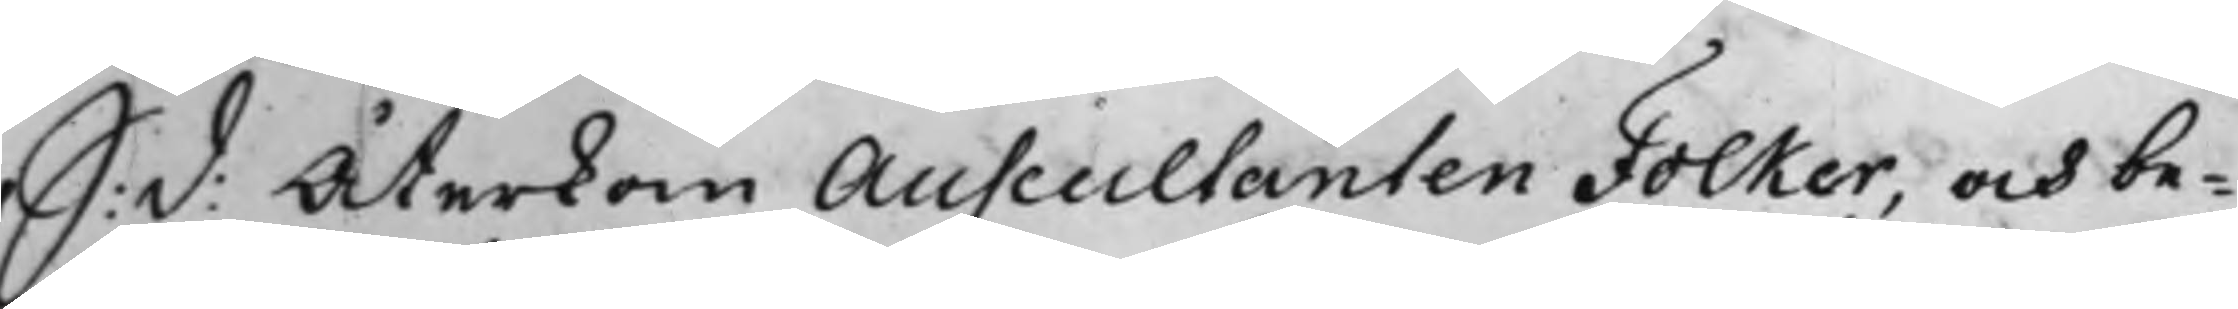S: d: Återkom Auscultanten Folker, och be¬
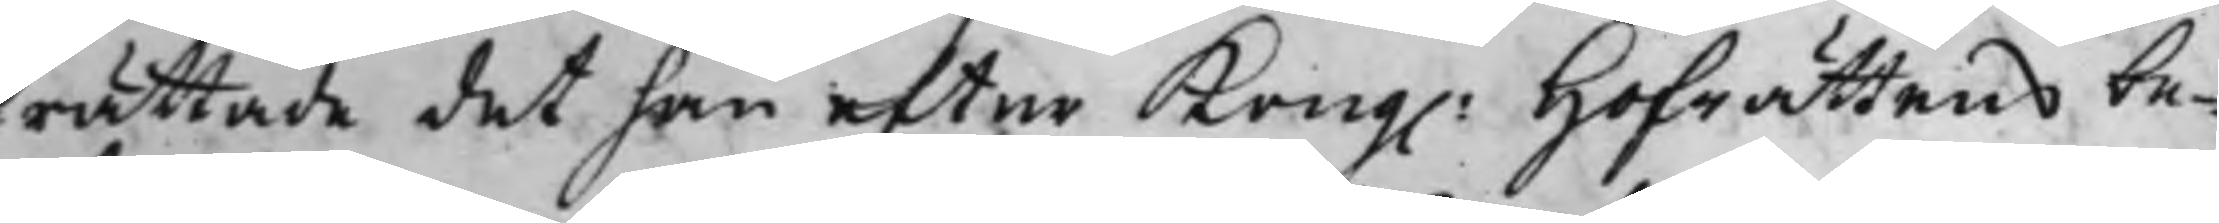rättade det han efter Kong. Hofrättens be¬
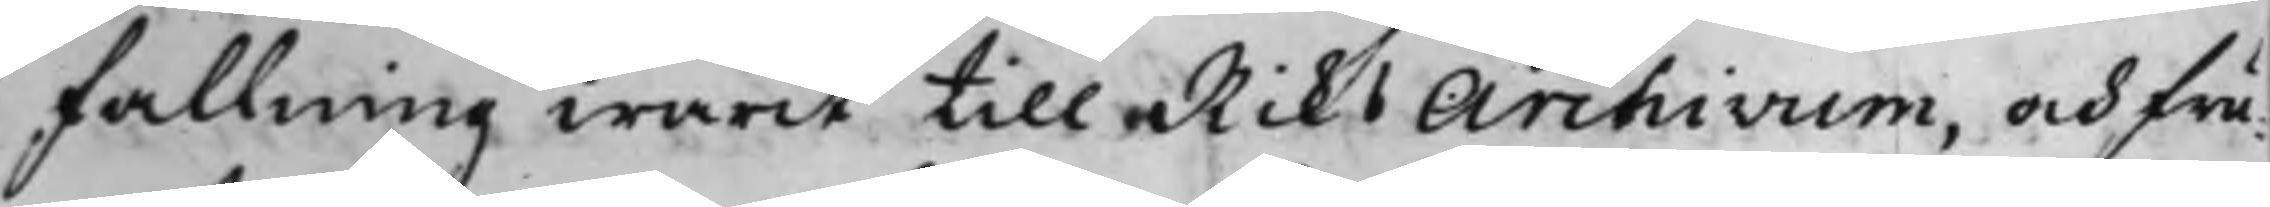fallning warit till RiksArchivum, och frå¬
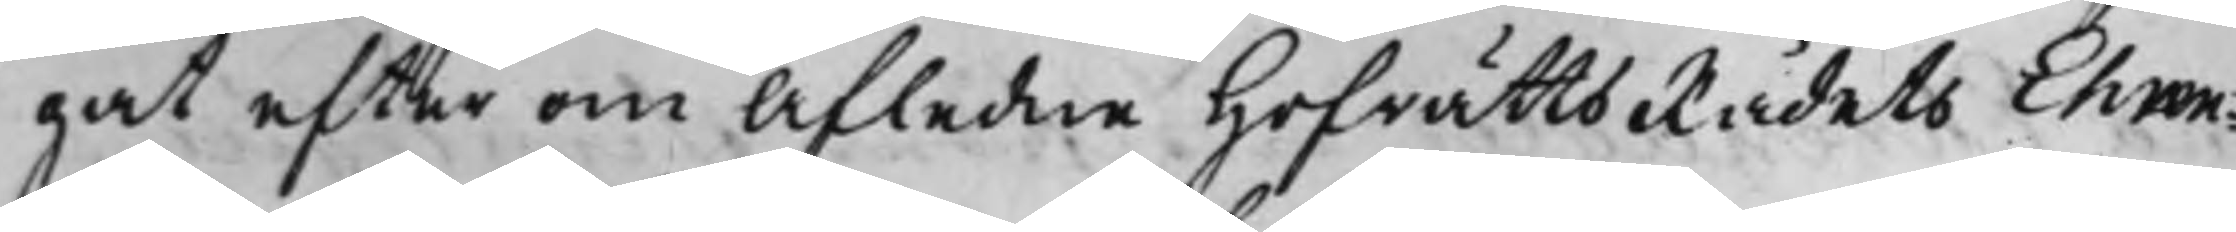gat efter om Afledne HofrättsRådets Ehren¬
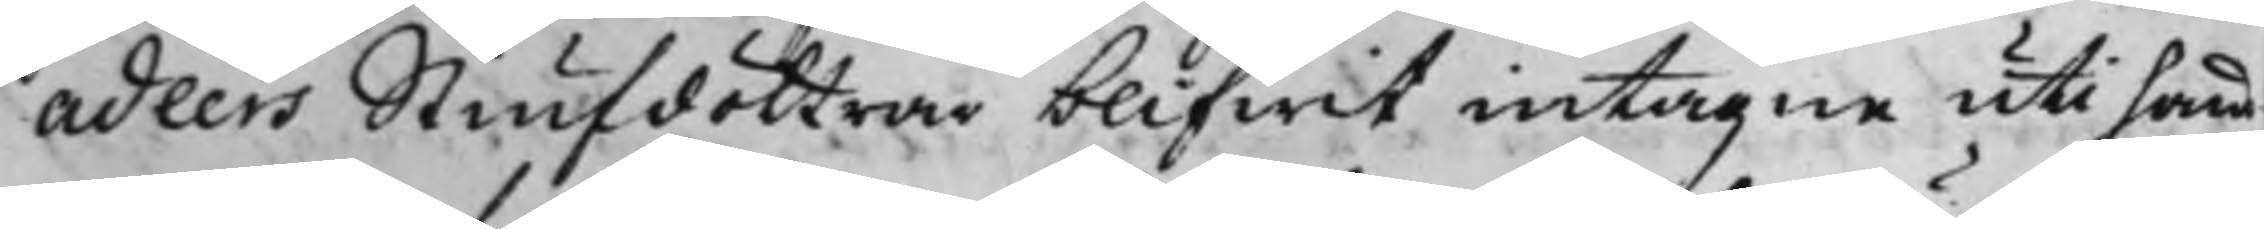adlers Stiufdöttrar blifwit intagne uti hans
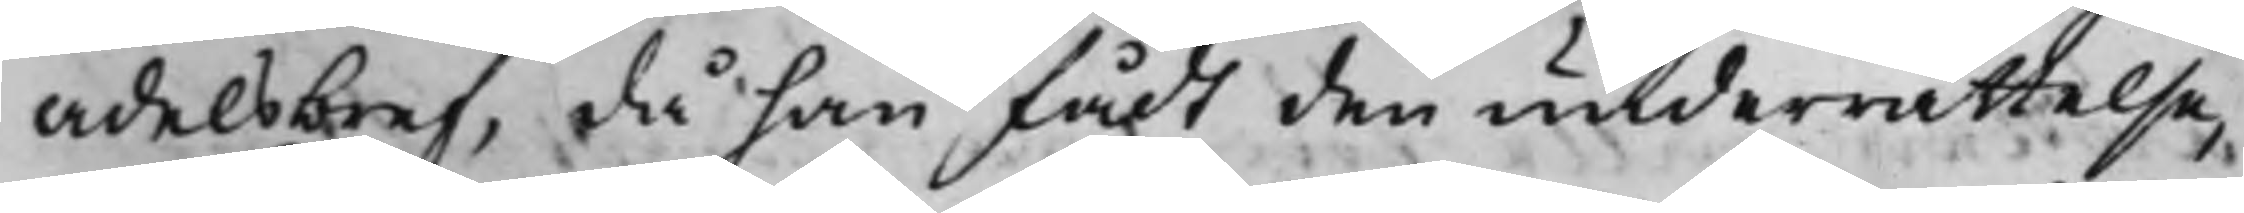adelsbref, då han fådt den underrättelse,
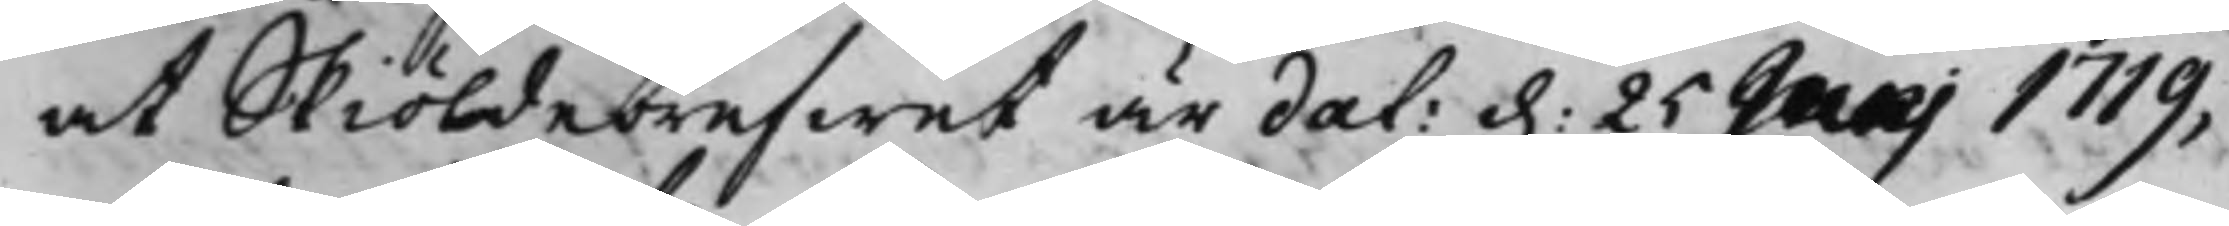at Skiöldebrefwet är dat: d. 25 Julii 1719,
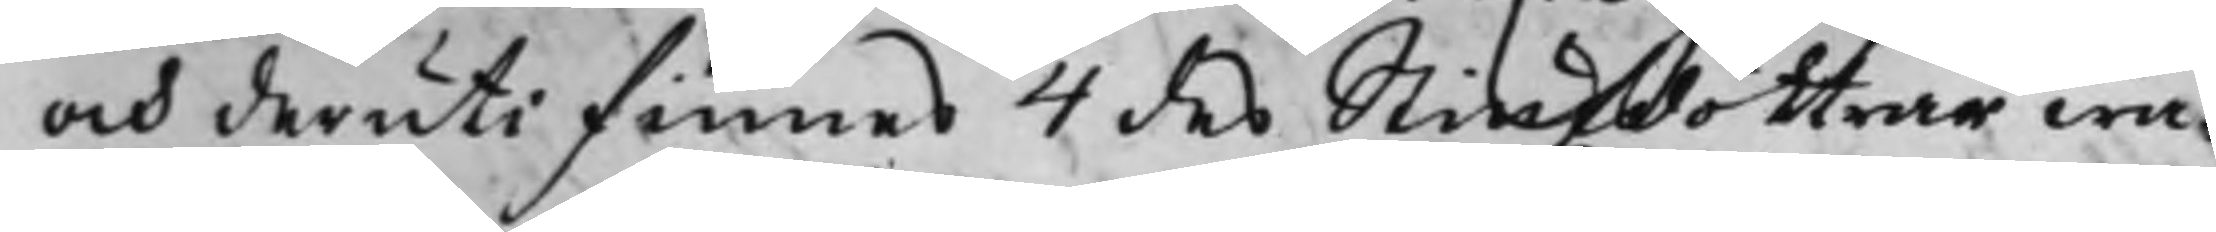och deruti finnes 4 des Stiufdöttrar wa¬
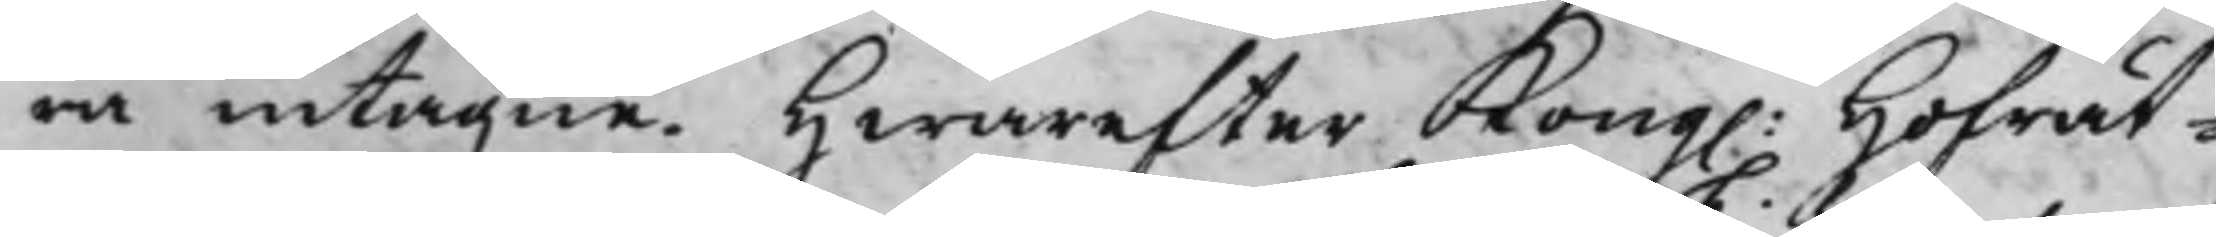ra intagne. Hwarefter Kong. Hoffrät¬
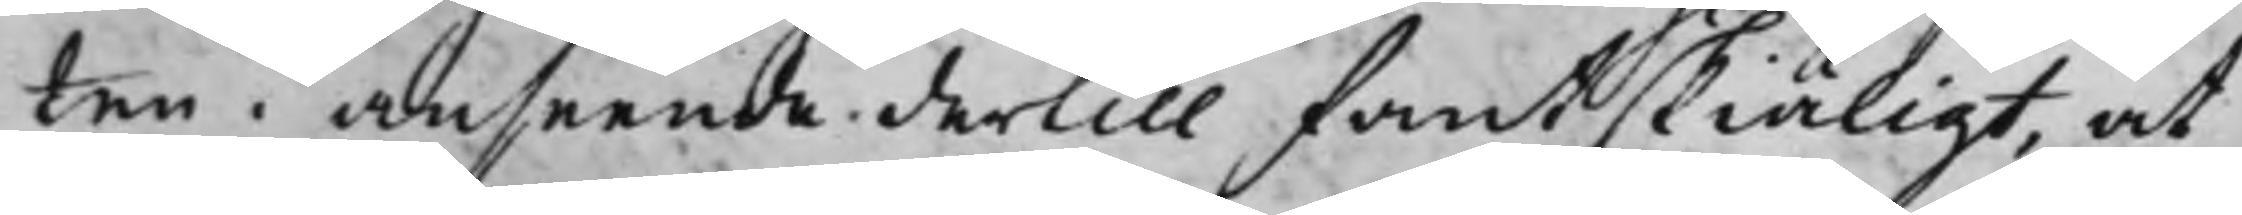ten i anseende dertill fant skiäligt, at
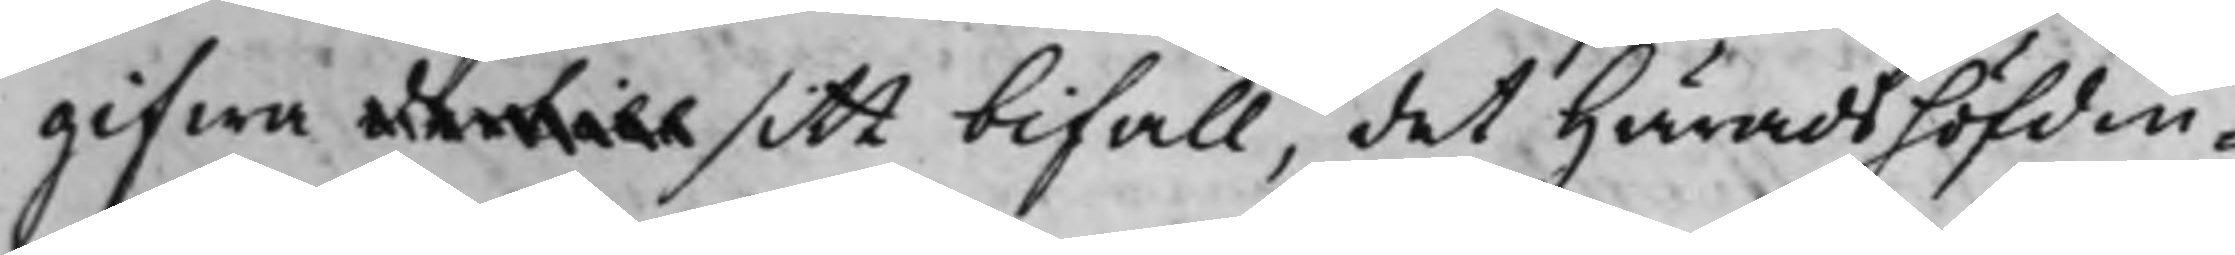gifwa dertill sitt bifall, det Häradshöfdin¬
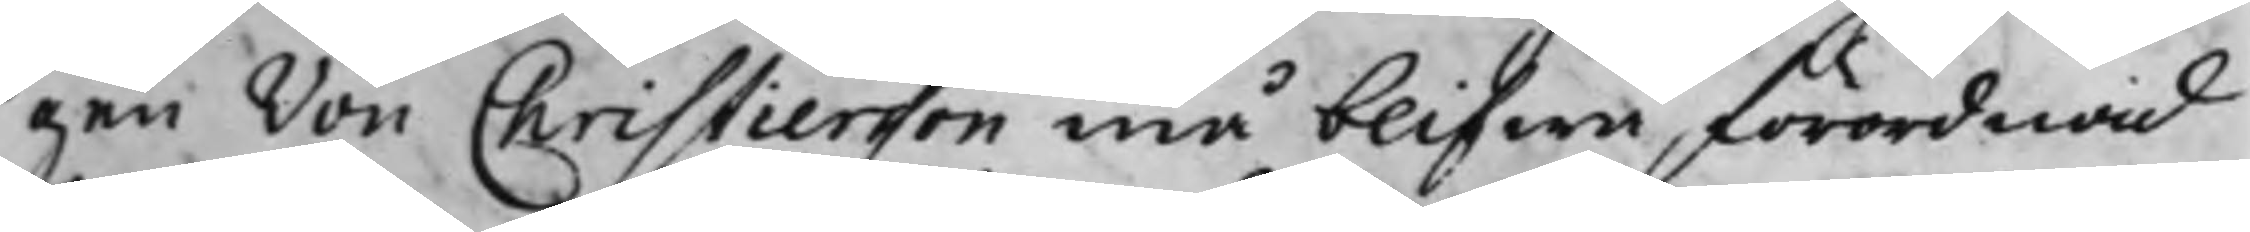gen von Christiersson må blifwa förordnad
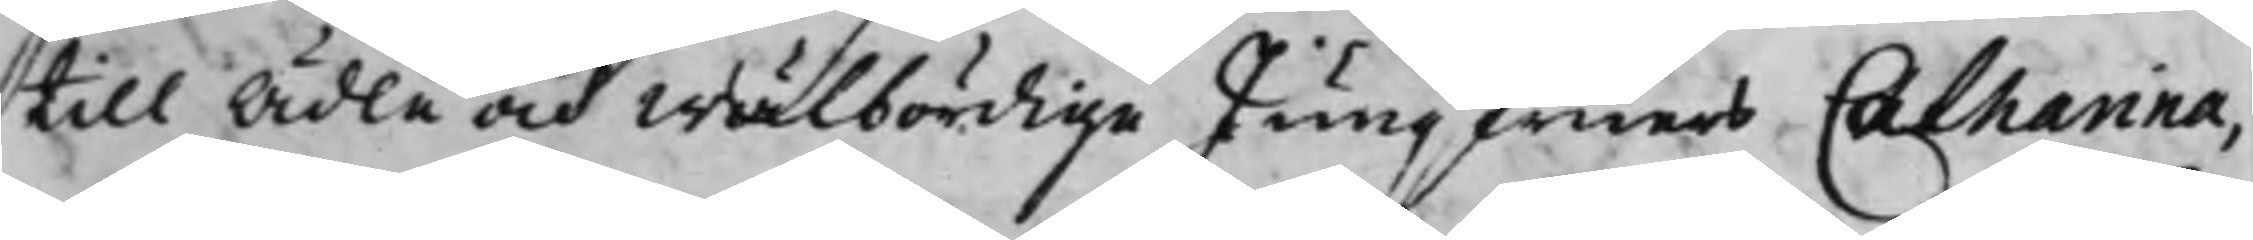till Ädle och Wälbördige Jungfuers Catharina,
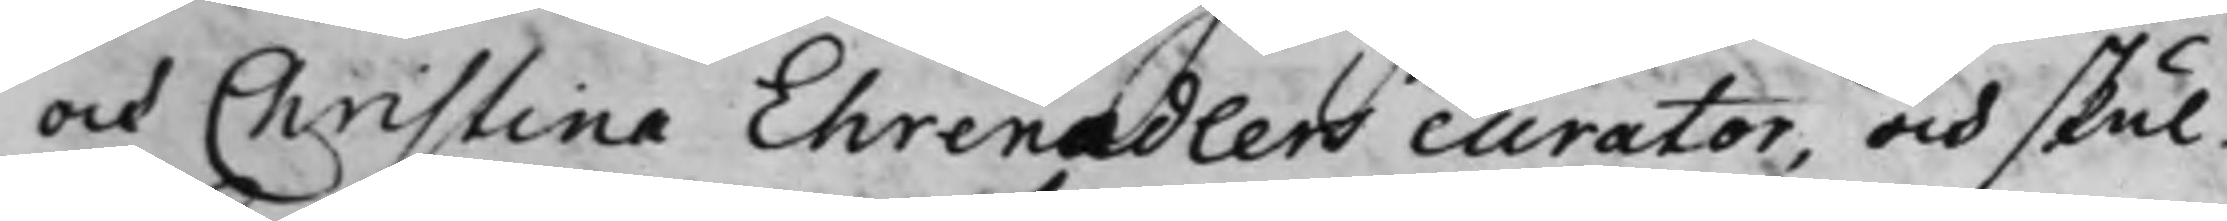och Christina Ehrenadlers curator, och skul¬
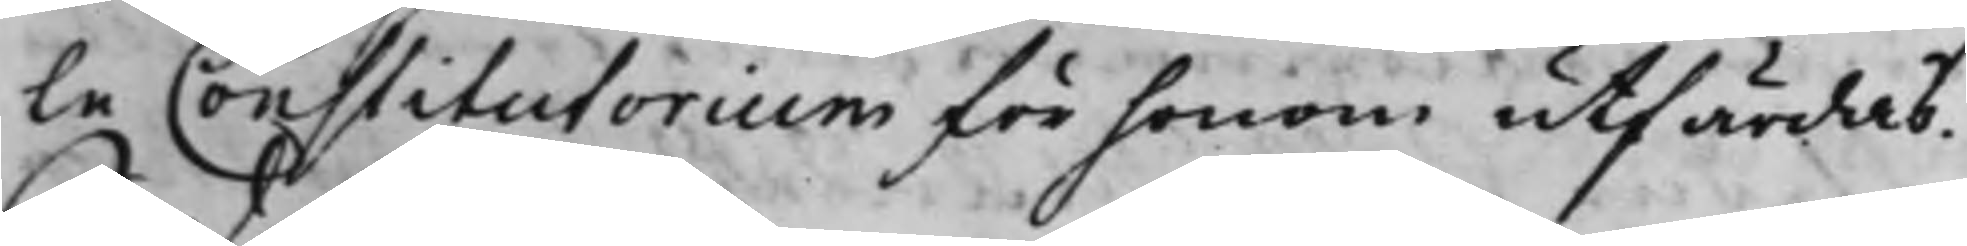le Constitutorium för honom utfärdas.
